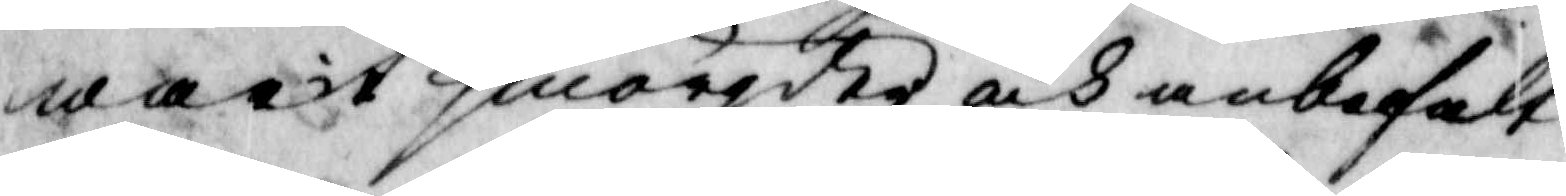warit smörgder, och anbefalt
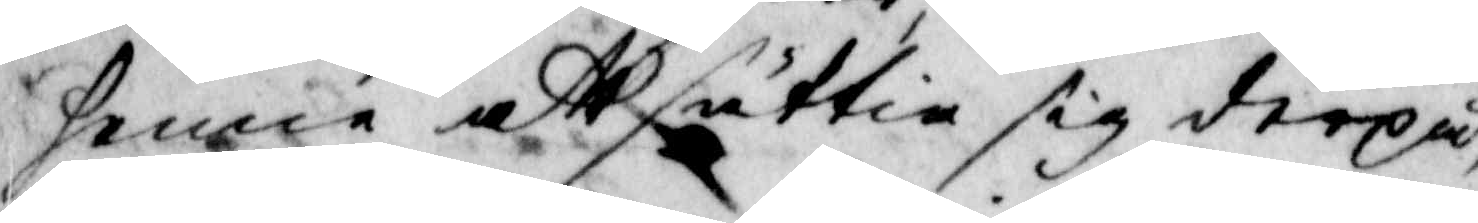henne att sättia sig derpå,
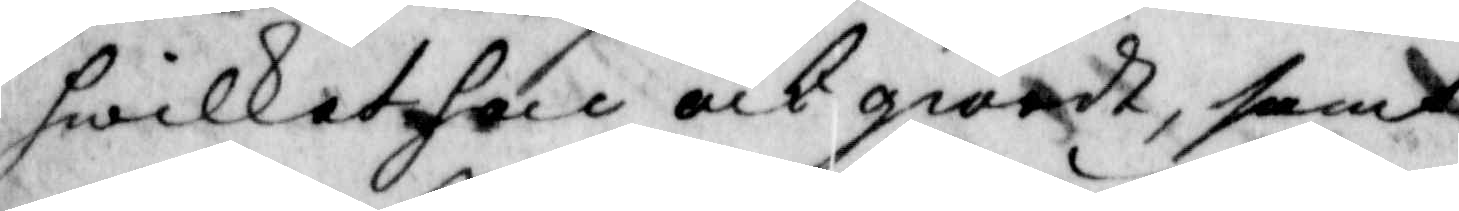hwilket hon och giordt, samt
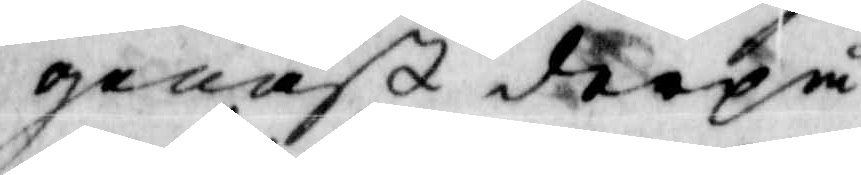genast derpå
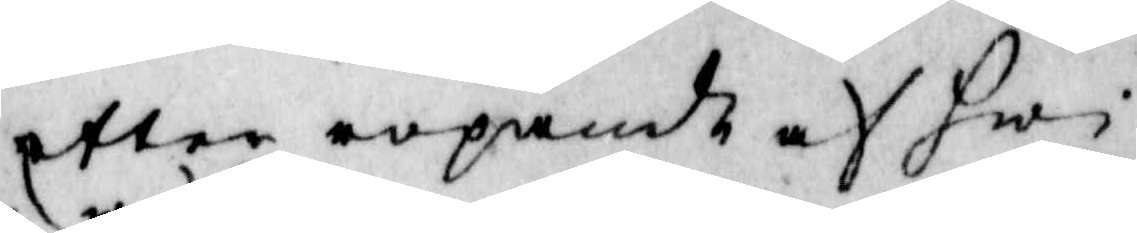efter ropande af hw¬
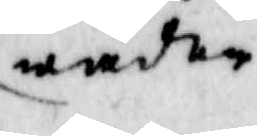wäder
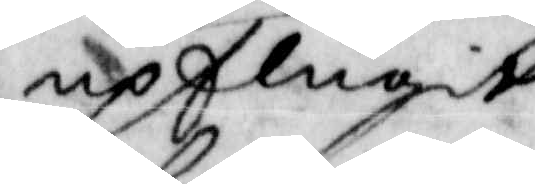upflugit
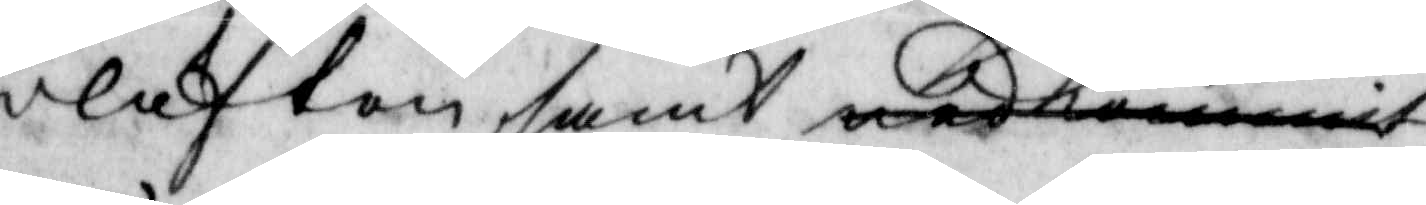i luften, samt nedkommit
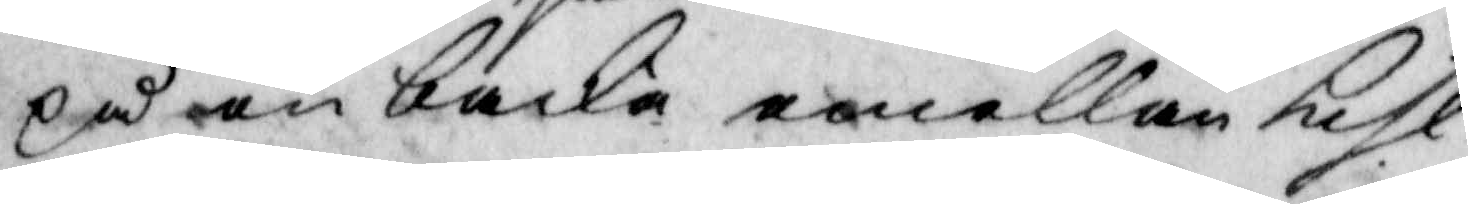på en backe emellan kihl
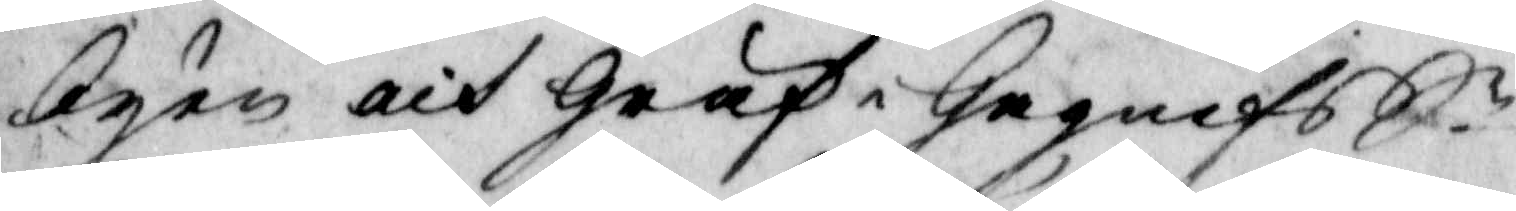byen och gräf i Gagnef Sn.
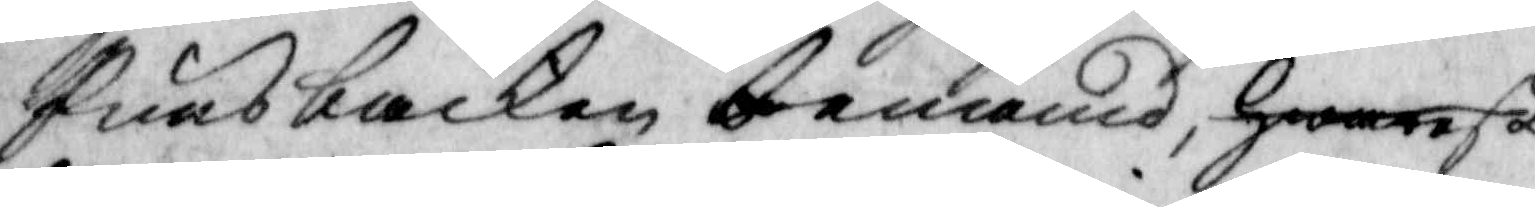Punsbacken benämd, hwarest
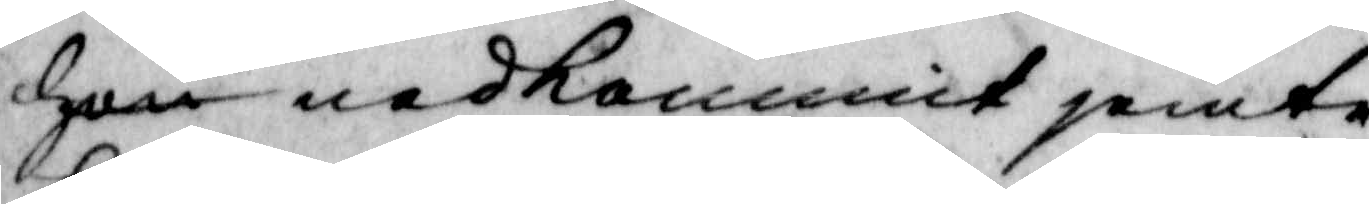hon nedkommit jemte
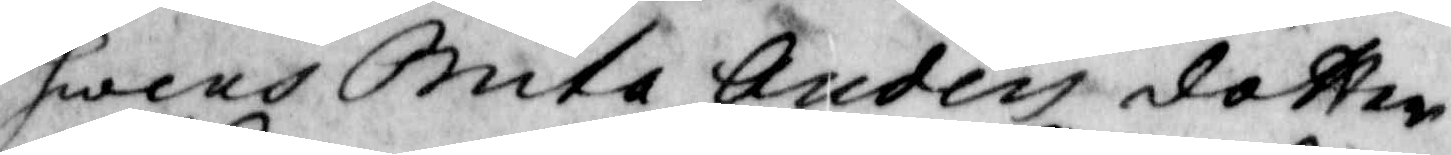Swens Brita Anders dotter
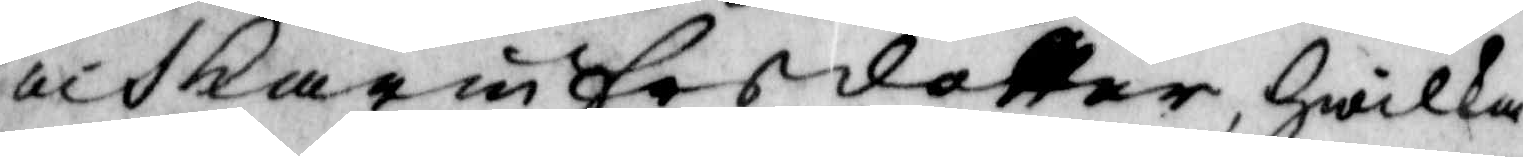och karin ersdotter, hwilken
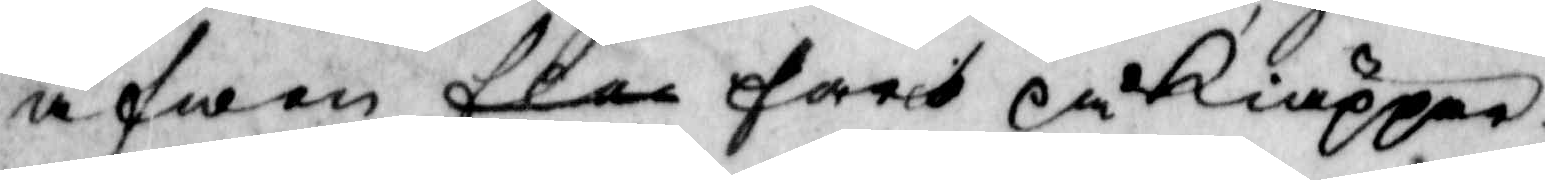äfwen fler farit på Kiäppen.
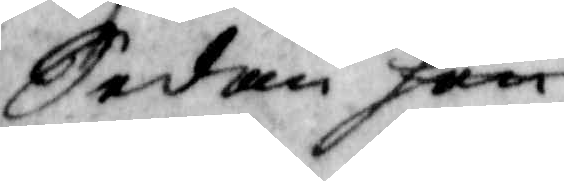sedan hon
